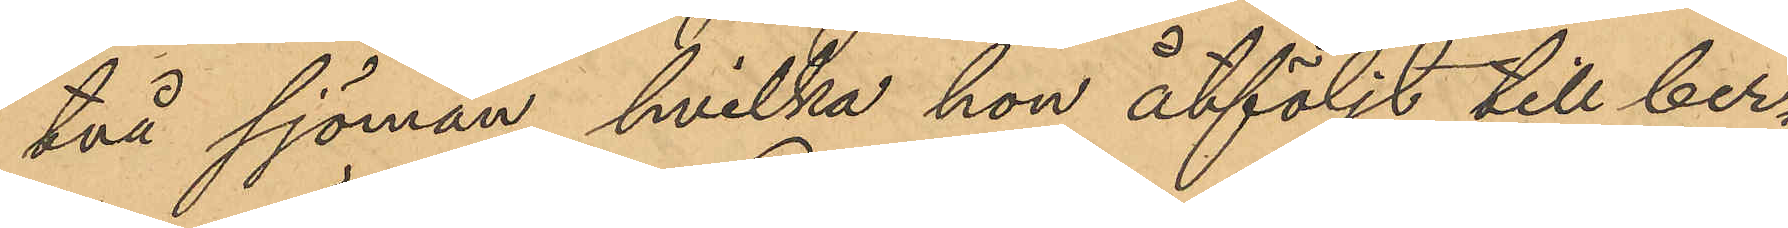två sjömän, hvilka hon åtföljt till ber¬
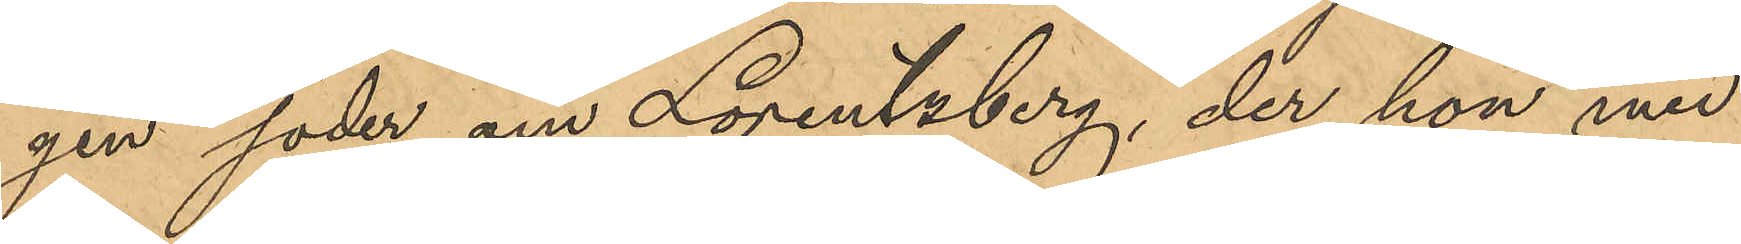gen söder om Lorentzberg, der hon med
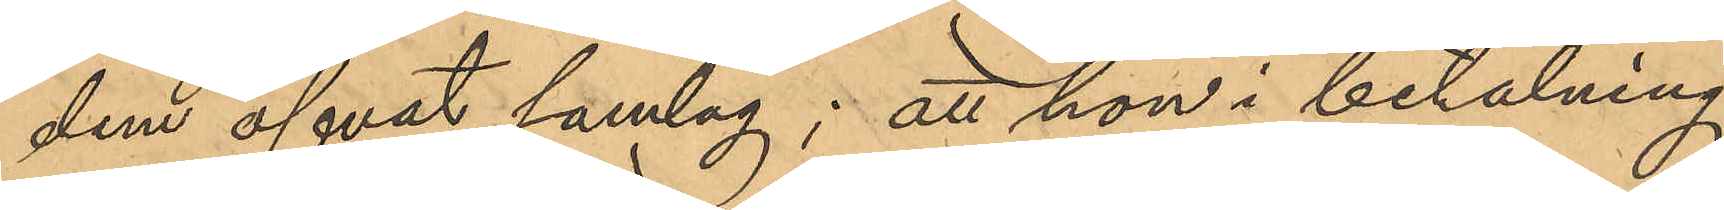dem öfvat samlag; att hon i betalning
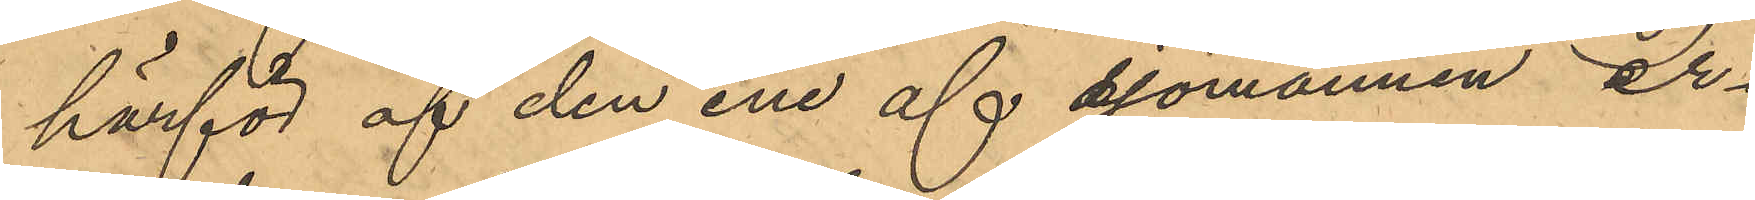härför af den ene af sjömännen er¬
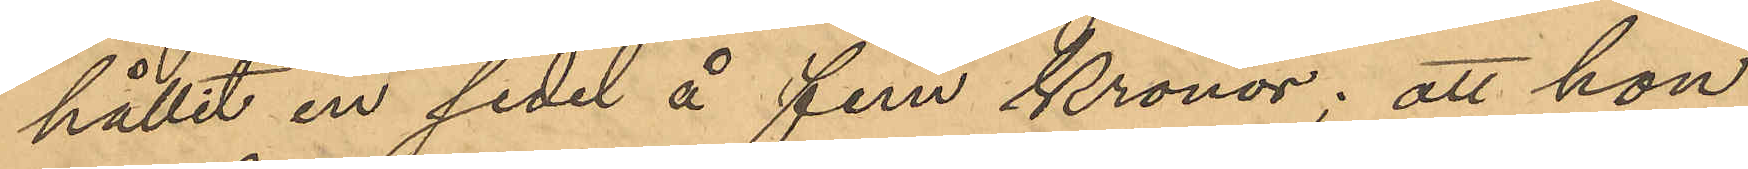hållit en sedel å fem Kronor, att hon
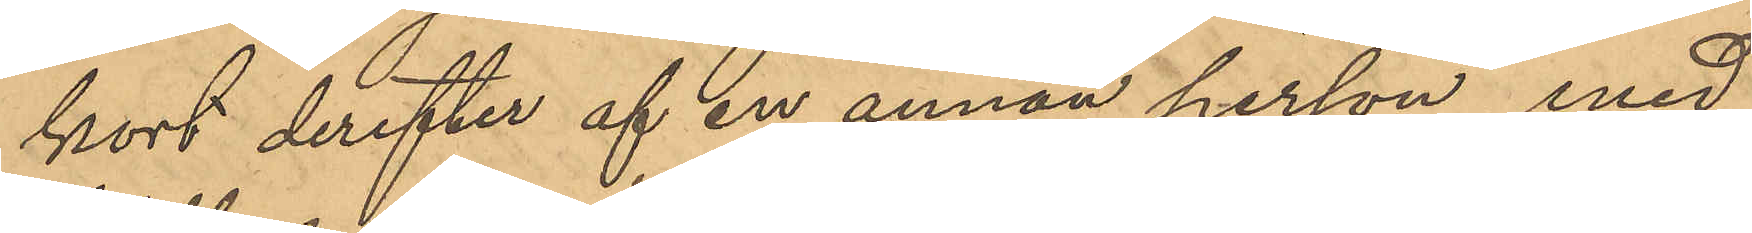kort derefter af en annan person, med
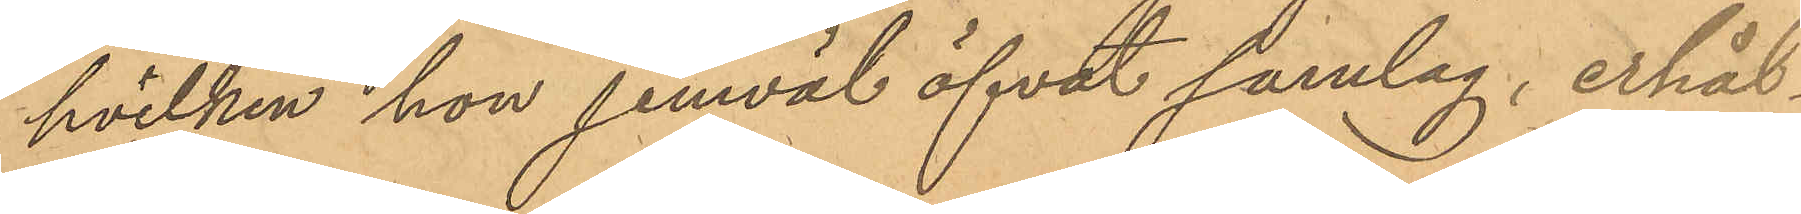hvilken hon jemväl öfvat samlag, erhål¬
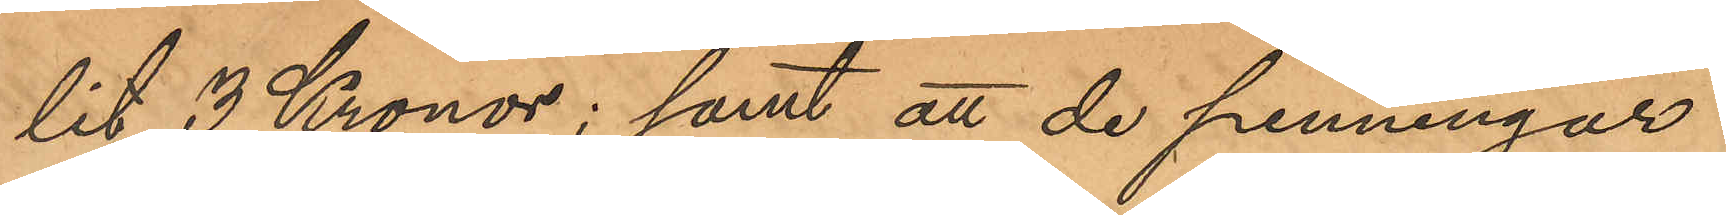lit 3 Kronor; samt att de penningar
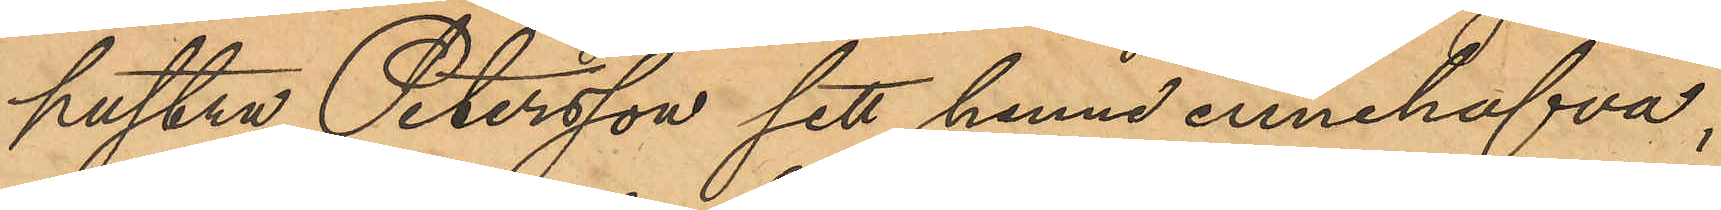hustru Petersson sett henne innehafva,
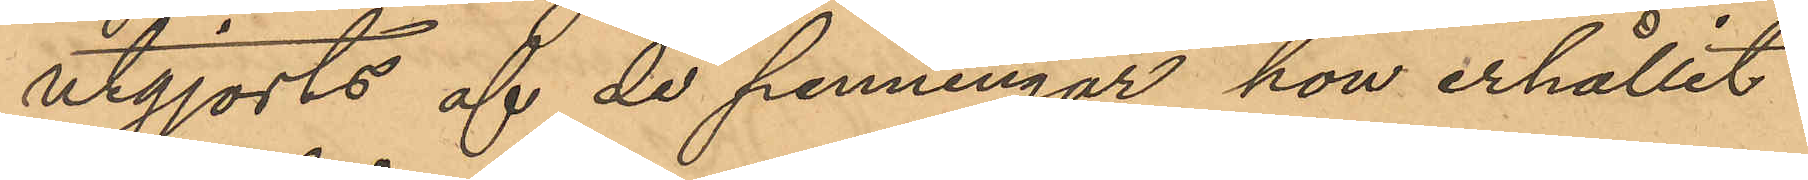utgjorts af de penningar hon erhållit
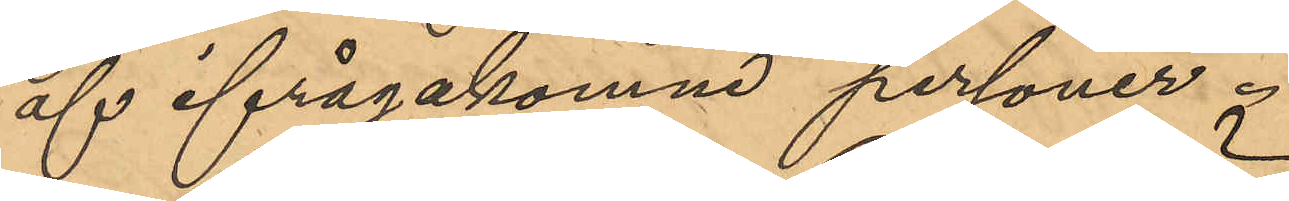af ifrågakomne personer.
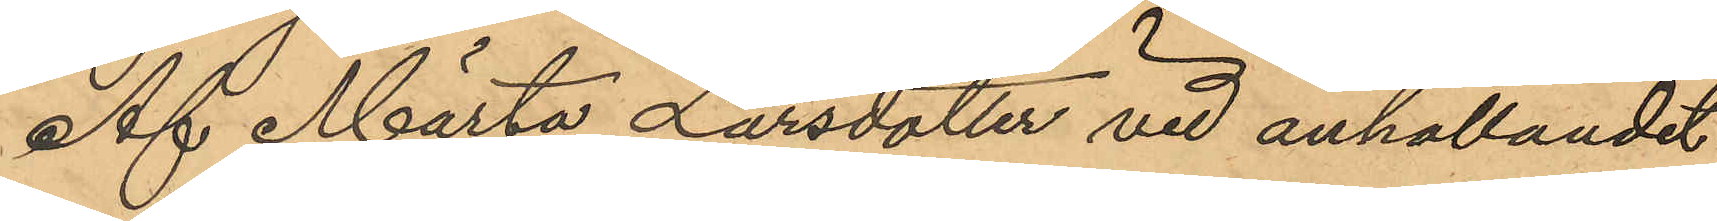Af Märta Larsdotter vid anhållandet
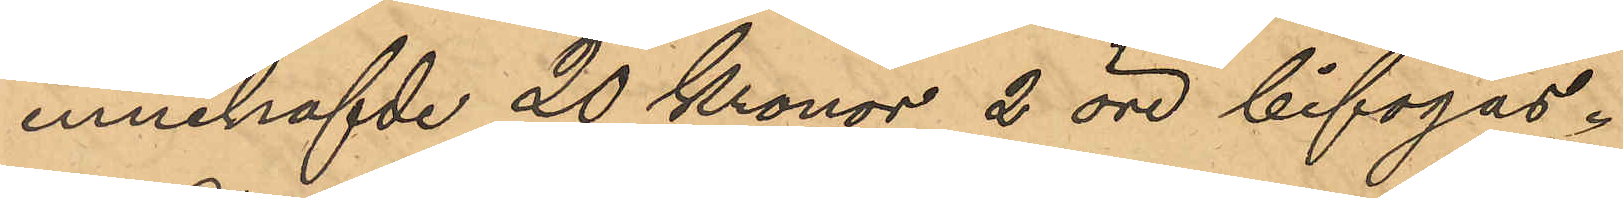innehafvde 20 Kronor 2 öre bifogas.
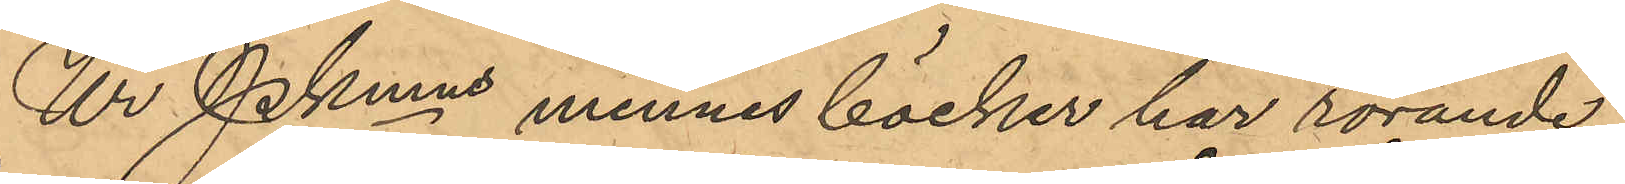Ur Pkmns minnes böcker har rörande
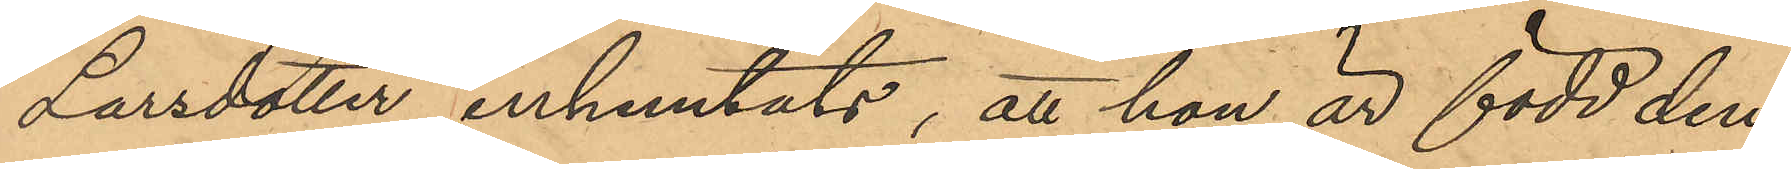Larsdotter inhemtats, att hon är född den
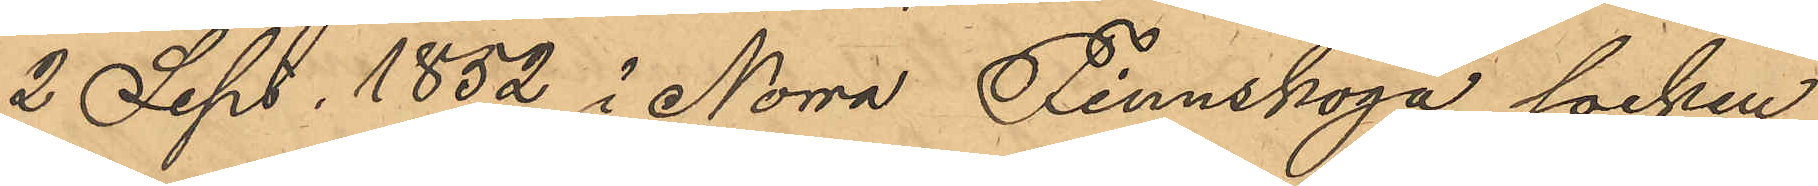2 Sept. 1852 i Norra Finnskoga socken
